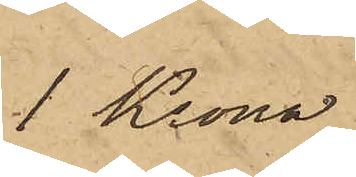1 Krona
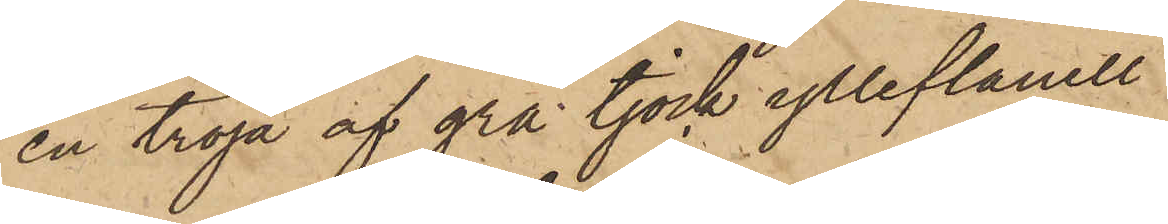en tröja af grå tjock ylleflanell
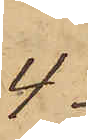4
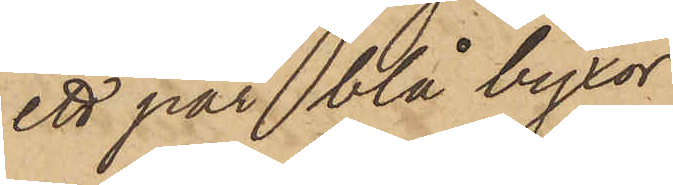ett par blå byxor
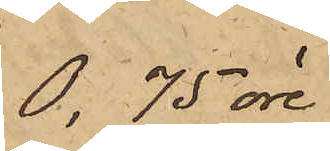0,75 öre
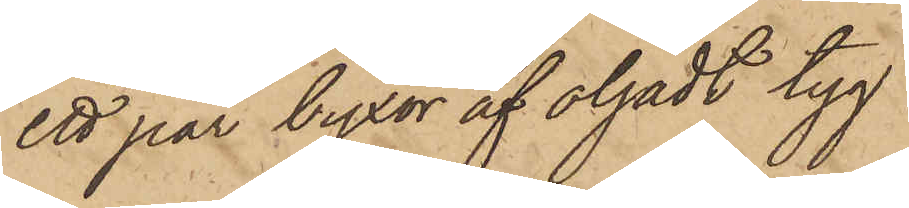ett par byxor af oljadt tyg
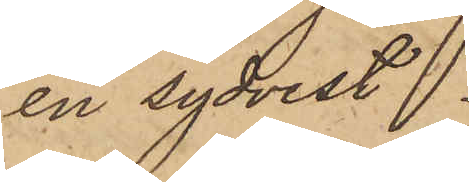en sydvest.
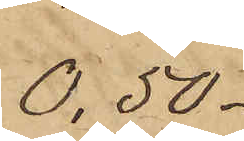0,50.
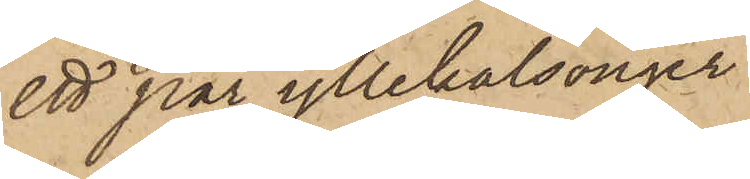ett par yllekalsonger
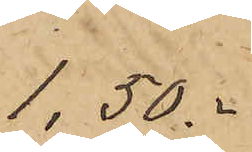1,50.
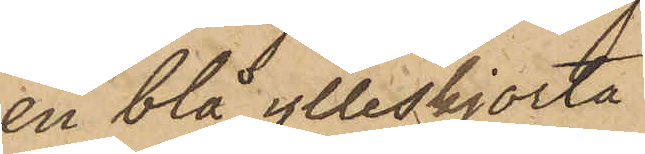en blå ylleskjorta
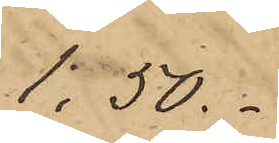1:50.
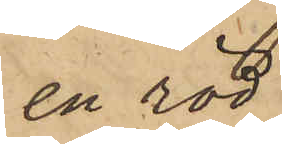en röd
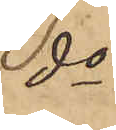do
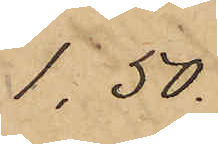1,50.
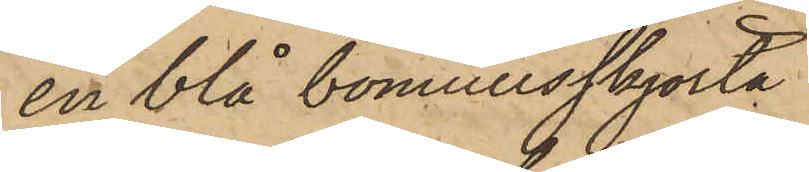en blå bomullsskjorta
